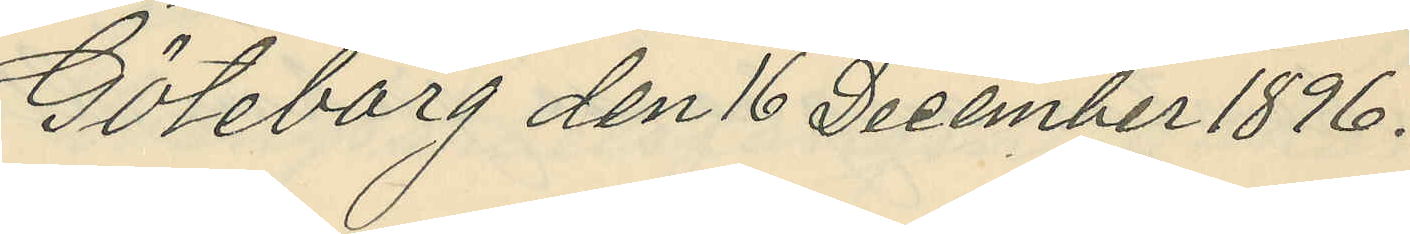Göteborg den 16 December 1896.
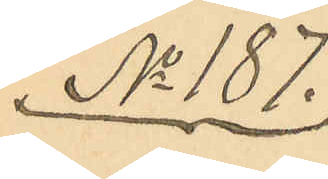No 187.
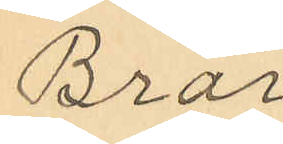Bror
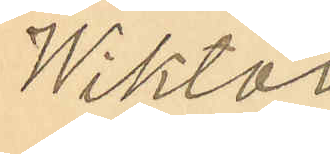Wiktor
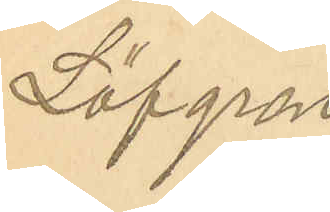Löfgren
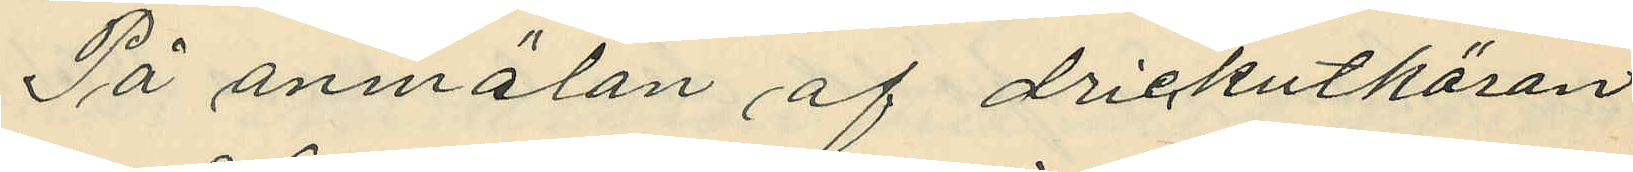På anmälan af drickutköran
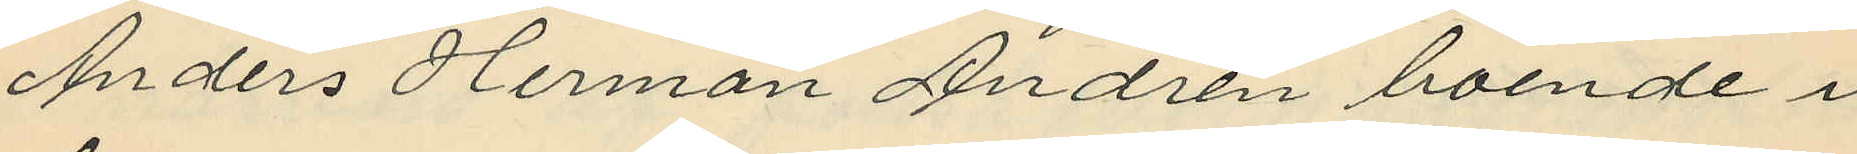Anders Herman Andrén boende i
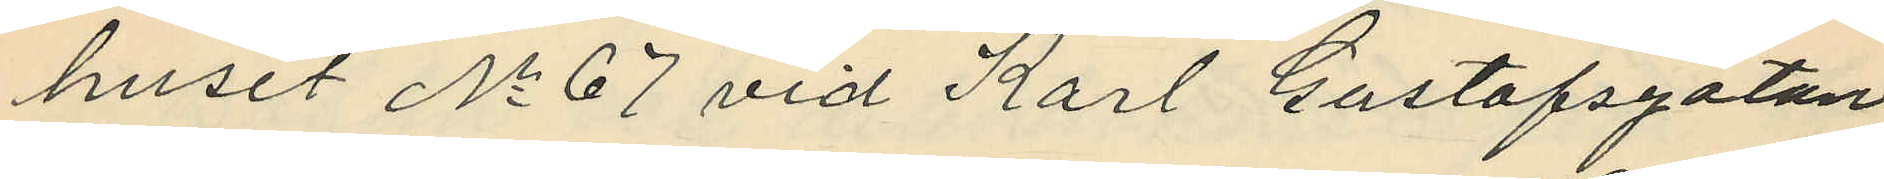huset No 67 vid Karl Gustafsgatan
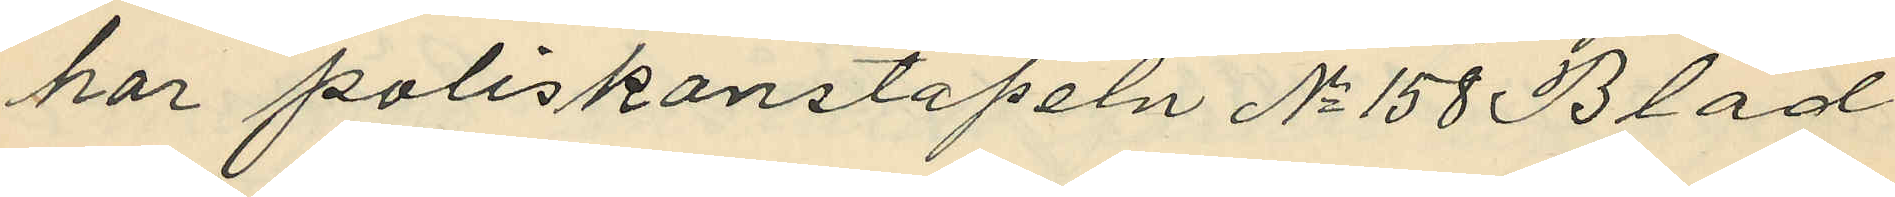har poliskonstapeln No 158 Blad
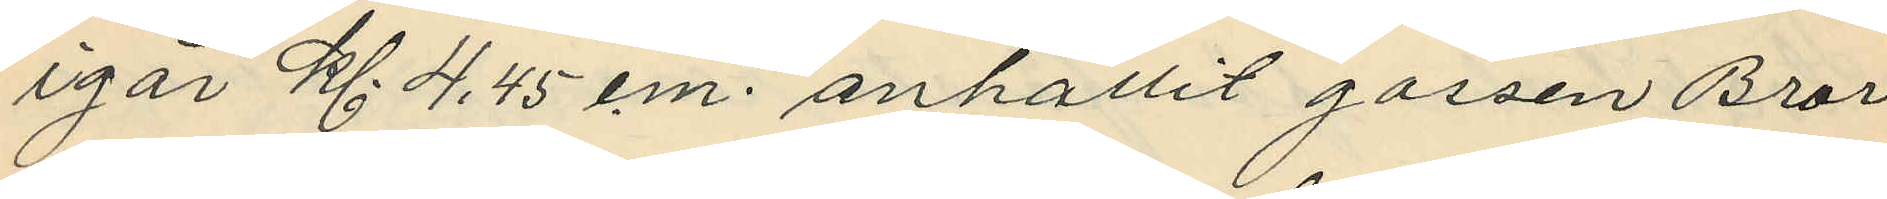igår kl. 4,45 e.m. anhållit gossen Bror
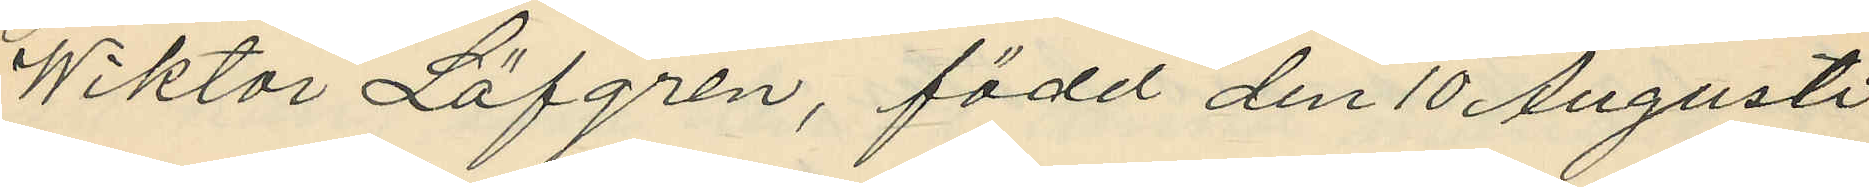Wiktor Löfgren, född den 10 Augusti
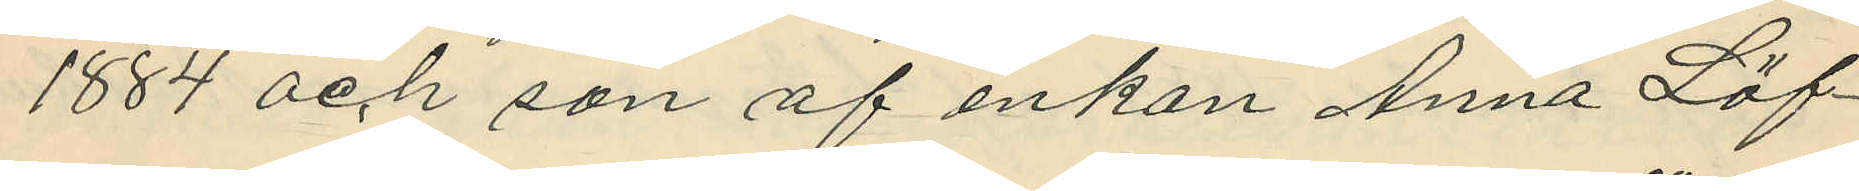1884 och son af enkan Anna Löf¬
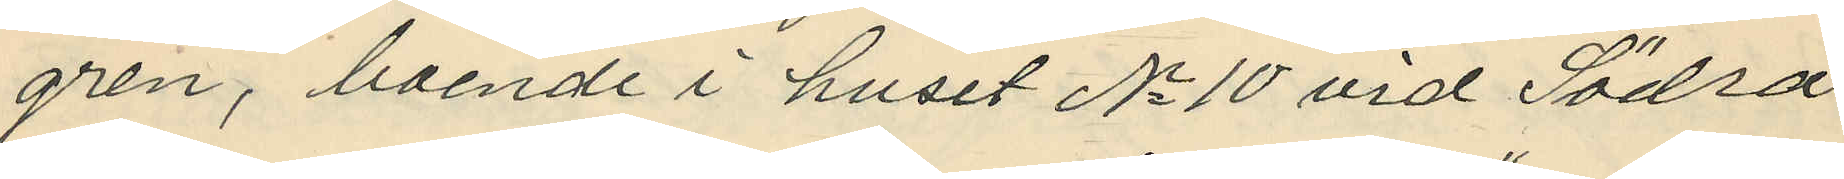gren, boende i huset No 10 vid Södra
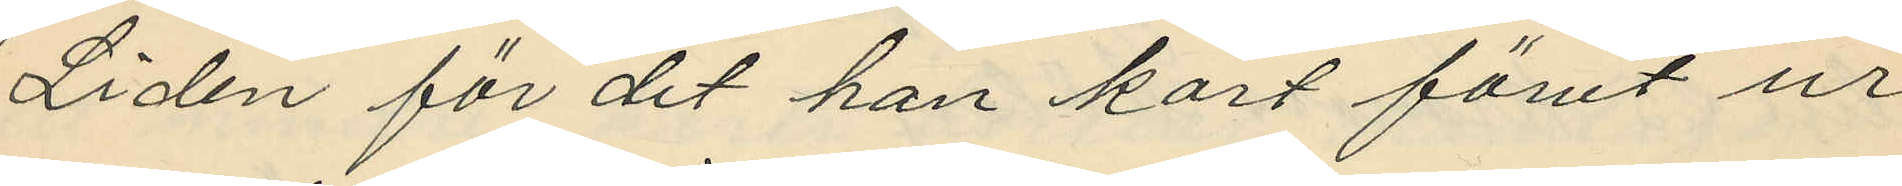Liden för det han kort förut ur
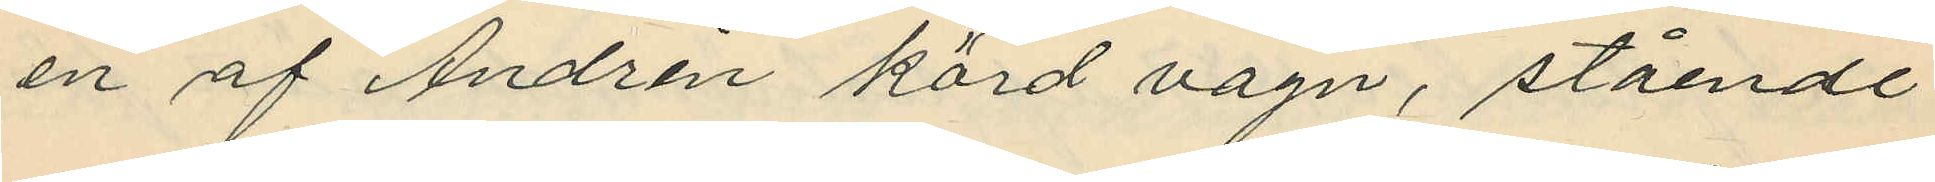en af Andrén körd vagn, stående
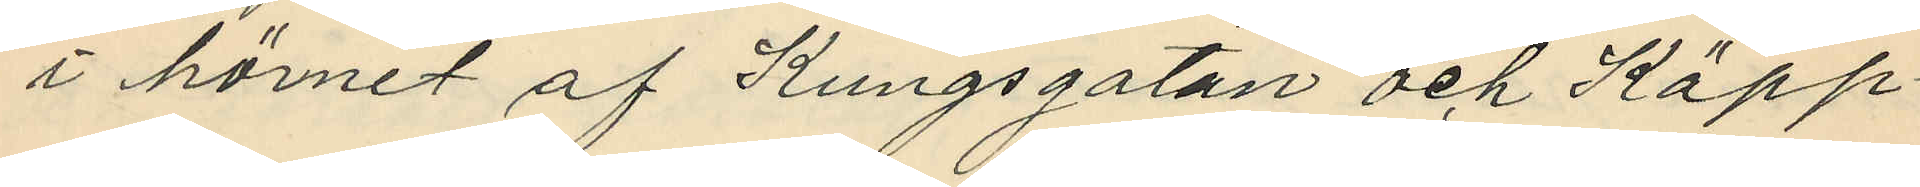i hörnet af Kungsgatan och Käpp¬
